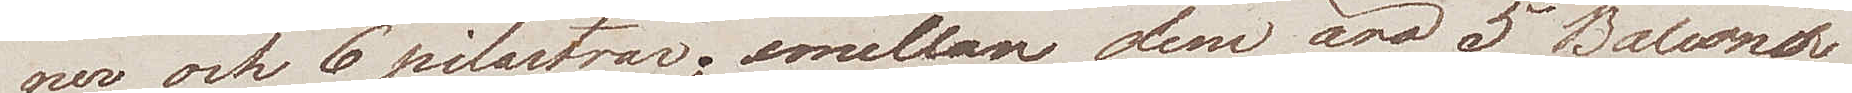ner och 6 pilastrar; emellan dem äro 5 Balconer
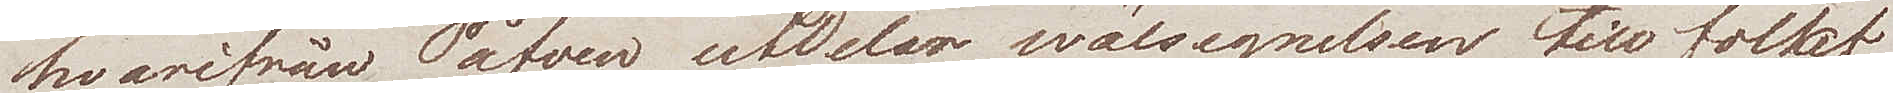hvarifrån Påfven utdelar wälsignelsen till folket
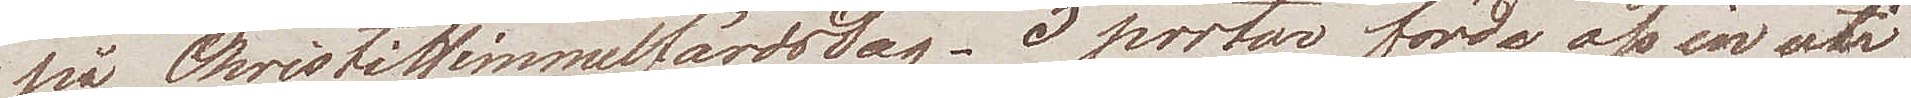på ChristiHimmelsfärdsdag. 5 portar förde oss in uti
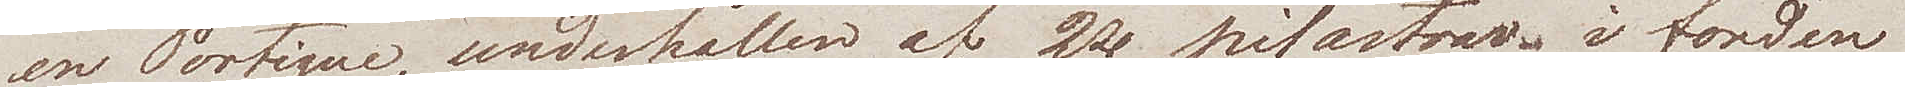en Portique, underhållen af 2ne pilastrar, i fonden
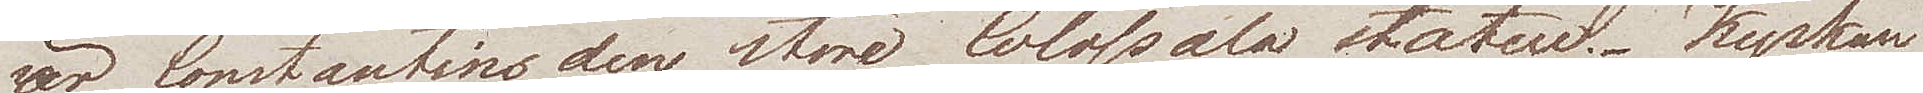äro Constantins den store Colossala statue. Kyrkan
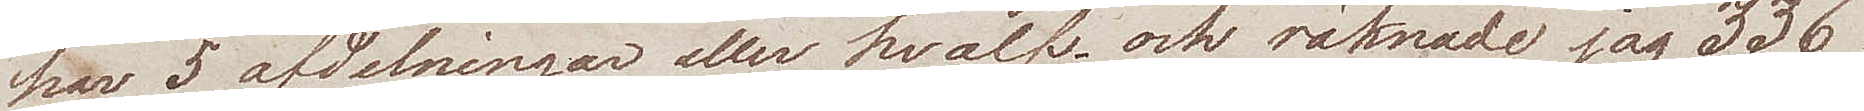har 5 afdelningar eller hvalf och räknade jag 336
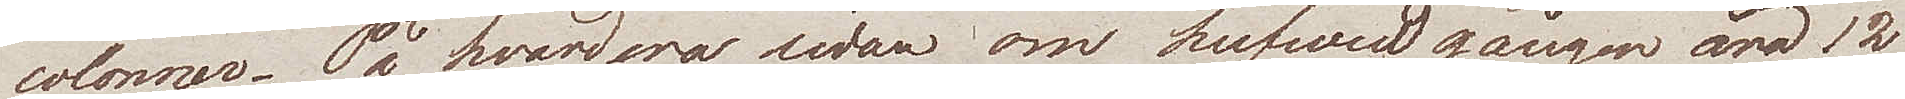colonner. På hvardera sidan om hufvudingången äro 12
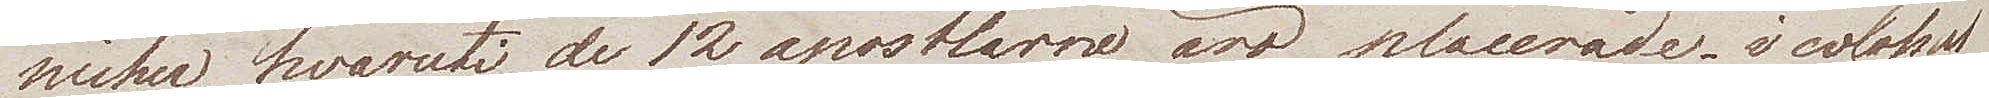nicher, hvaruti de 12 apostlarne äro placerade i colossal
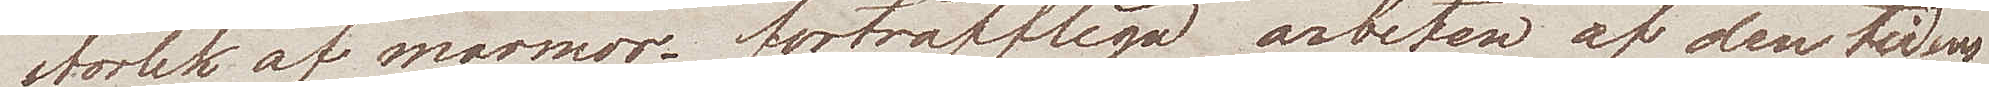storlek af marmor. förträffliga arbeten af den tidens
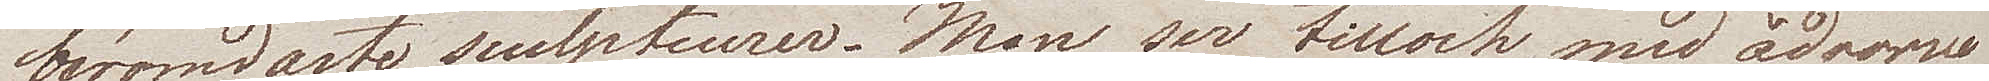berömdaste sculpteurer. Man ser tilloch med ådrorne
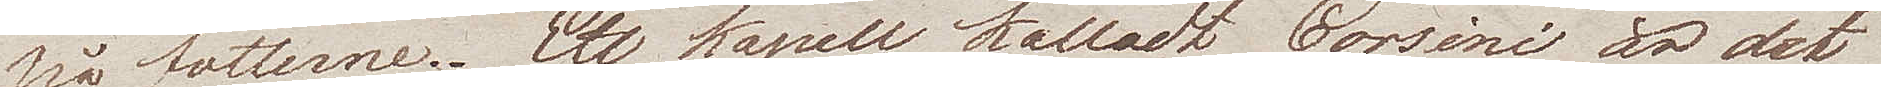på fötterne. Ett kapell kalladt Corsini är det
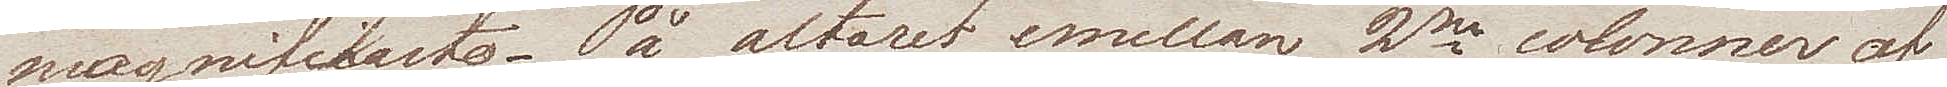magnificaste. På altaret emellan 2ne colonner af
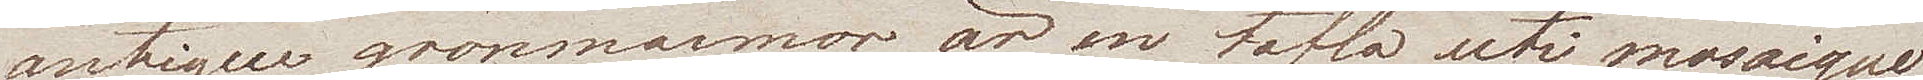antique grönmarmor, är en tafla uti mosaique
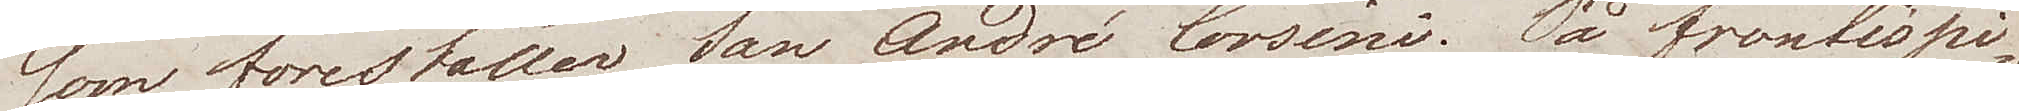som föreställer San André Corsini. På frontispi¬
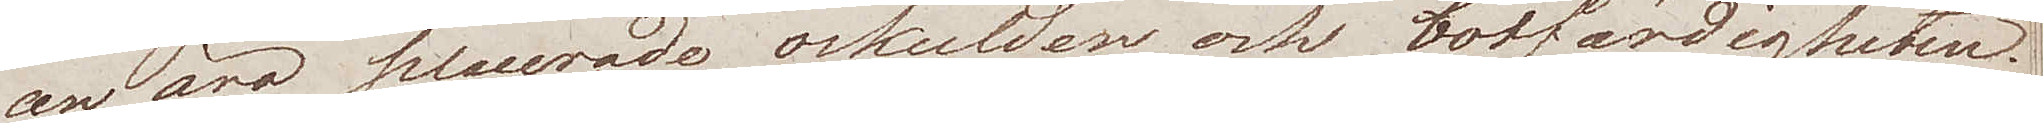cen äro placerade oskulden och botfärdigheten.
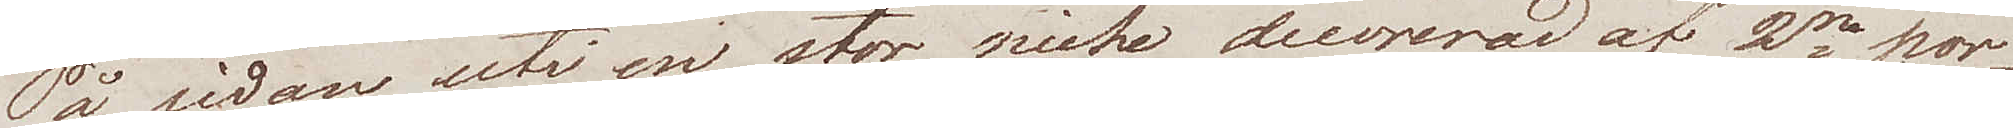På sidan uti en stor niche decorerad af 2ne por¬
